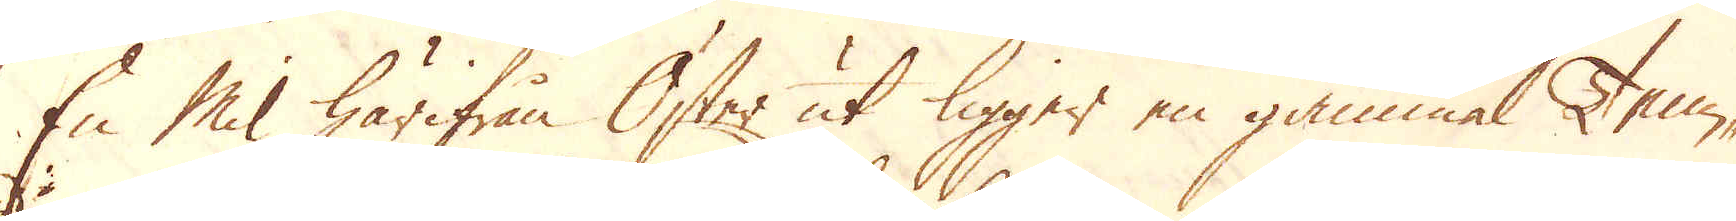En Mil härifrån Öster ut ligger en gammal Tenn-
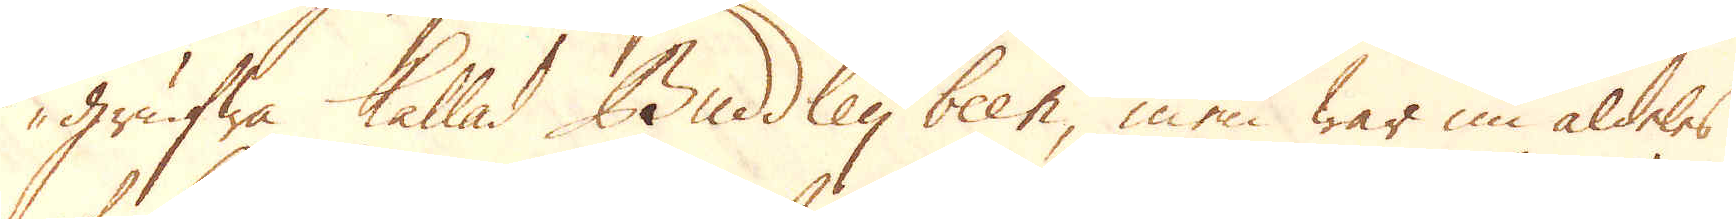grufwa kallad Buddley been, men war nu aldeles
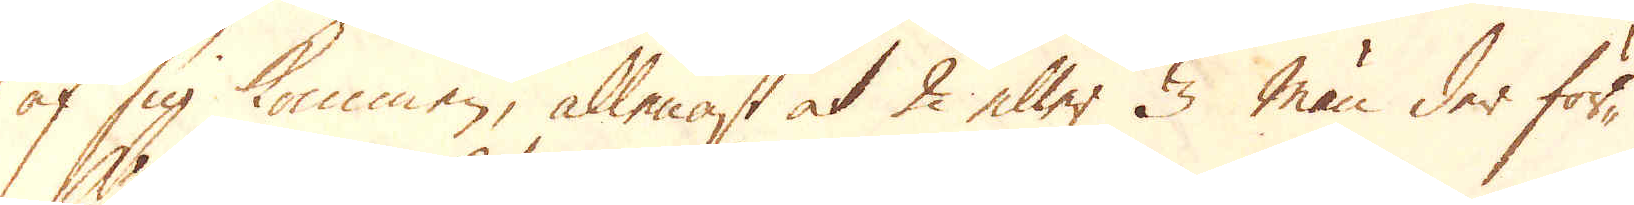af sig kommen, allenast at 2 eller 3 män der för-
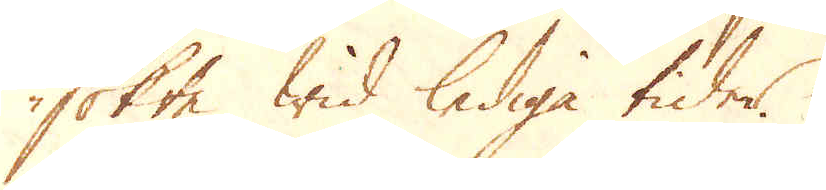sökte wid lediga tider
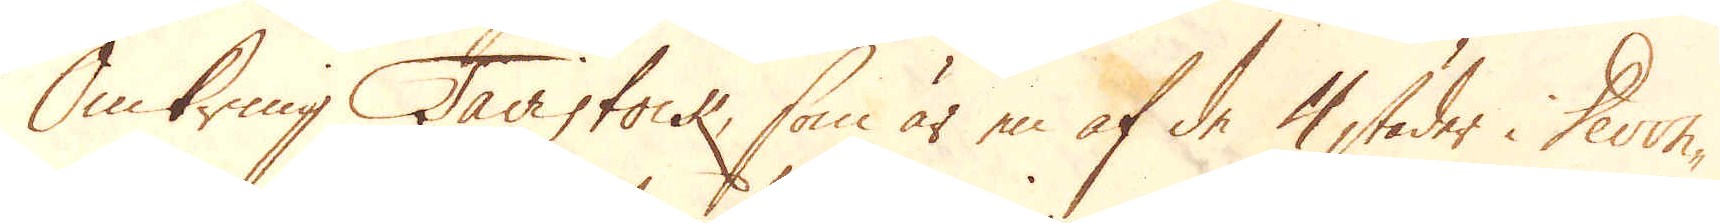Omkring Tavistock, som är en af de 4 städer i Devon-
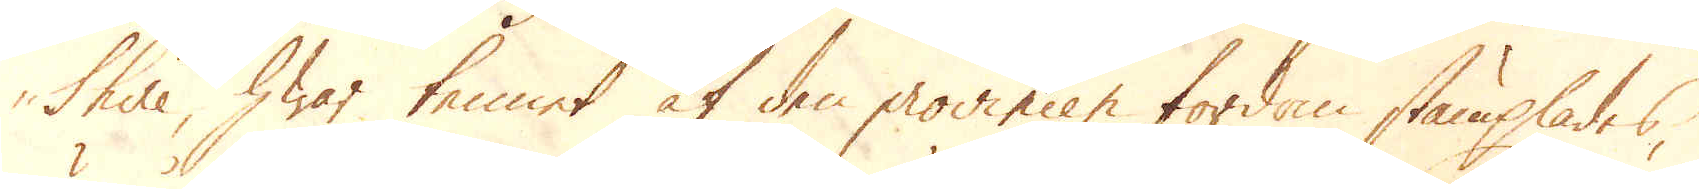shire, hwar tennet af den provincen fordom stämplades,
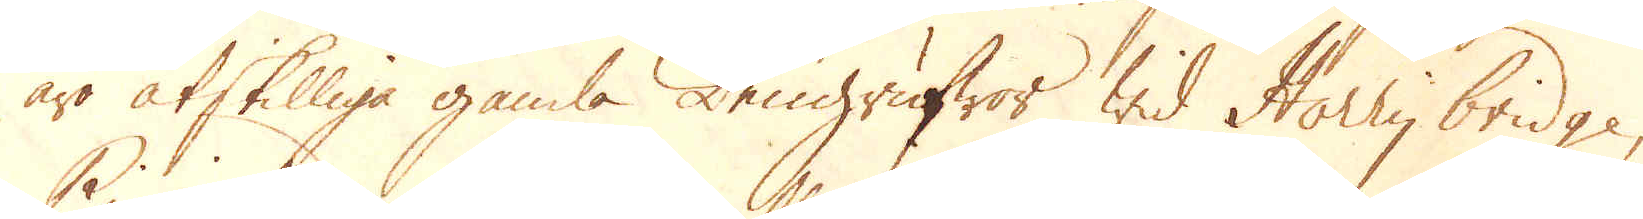äro åtskilliga gamla Tengrufwor wid Horry bridge,
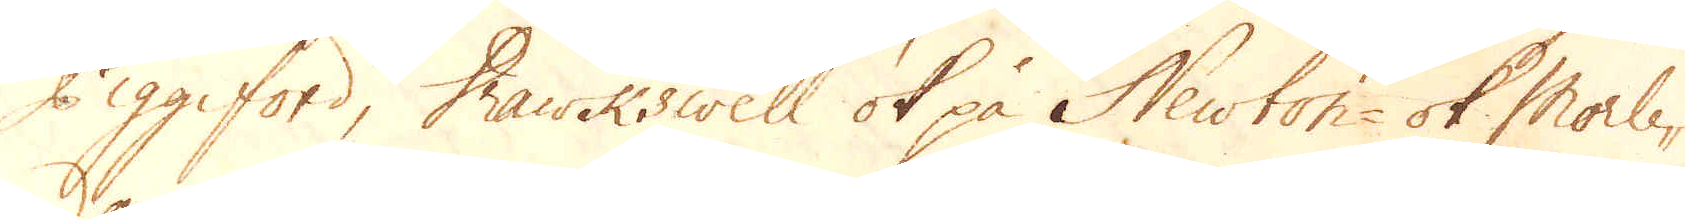Piggford, Hawkswell ok på Newton- ok Morle-
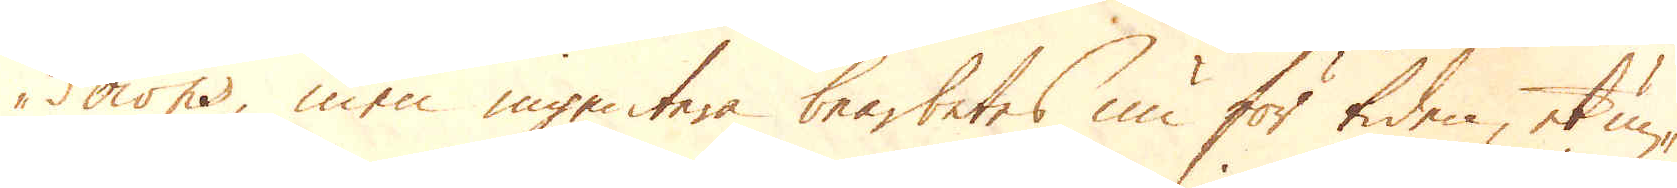downs, men ingentera bearbetes nu för tiden, et un-
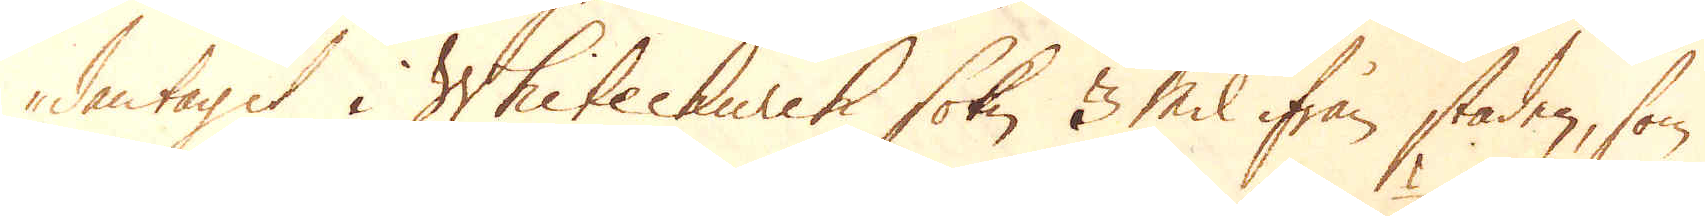dantaget i Whitechurch sokn, 3 Mil ifrån staden, som
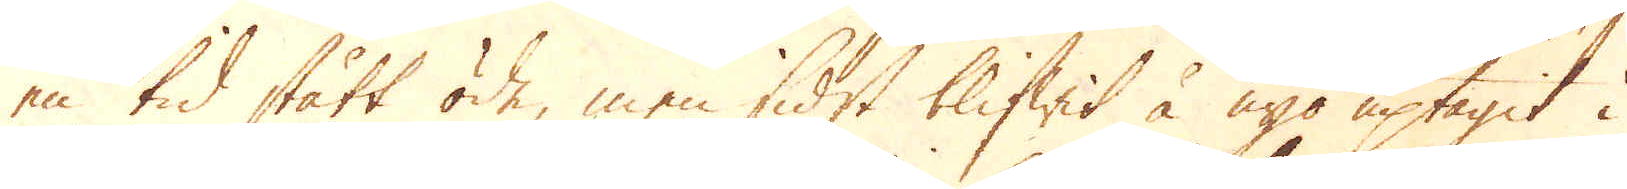en tid stått öde, men sidst blifwit å nyo uptagit i
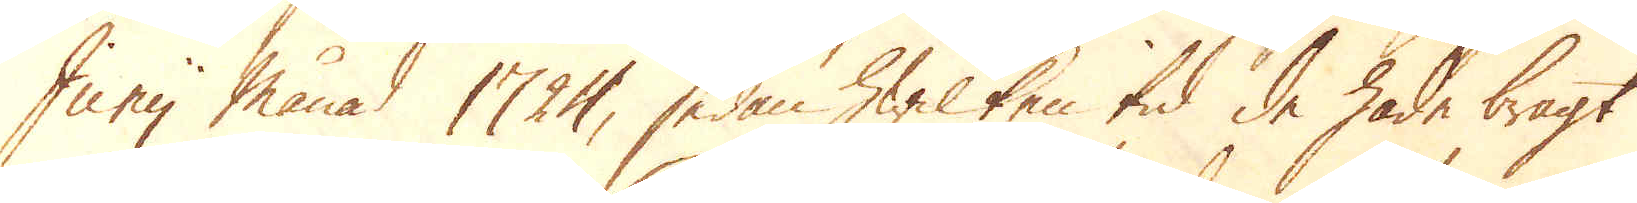Junij månad 1724, sedan hwilken tid de hade bragt
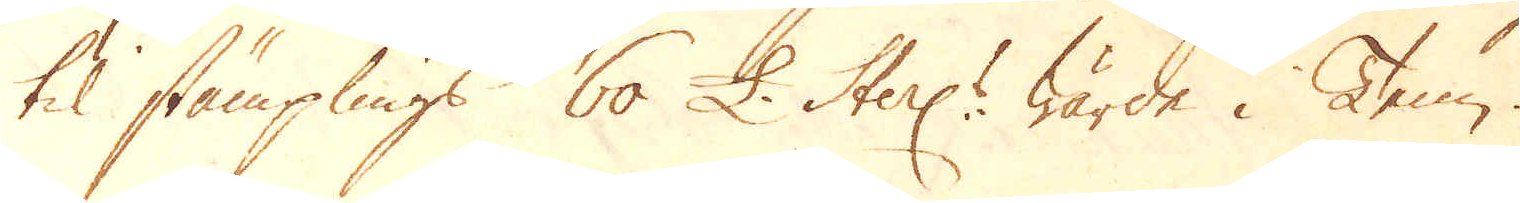til stämplings 60 £. Sterl:s wärde i Tenn.
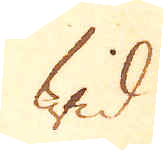Wid
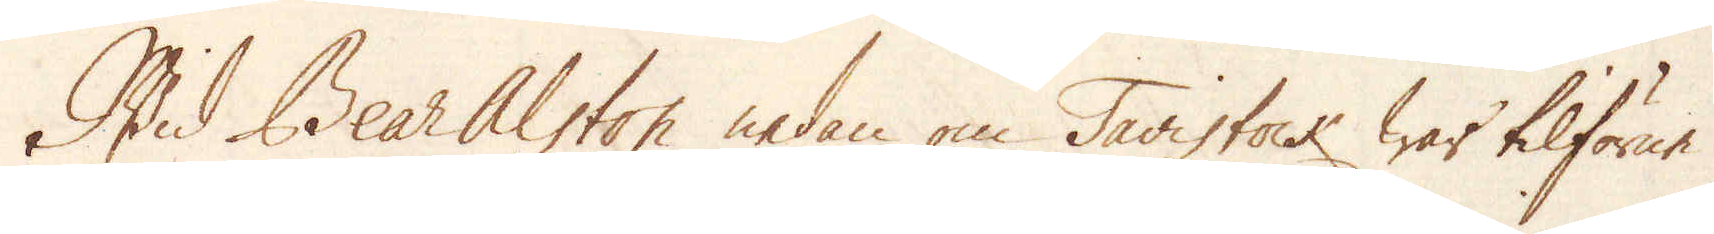Wid Bear Alston nedan om Tavistock war tilförne
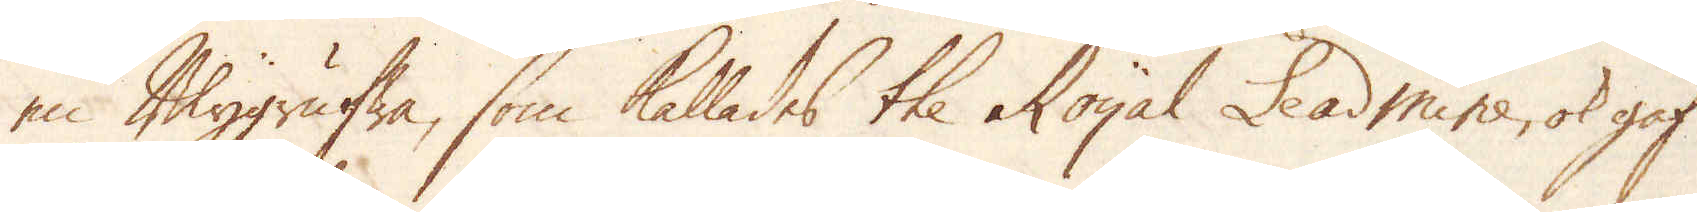en Blygrufwa, som kallades the Royal Leadmine, ok gaf
